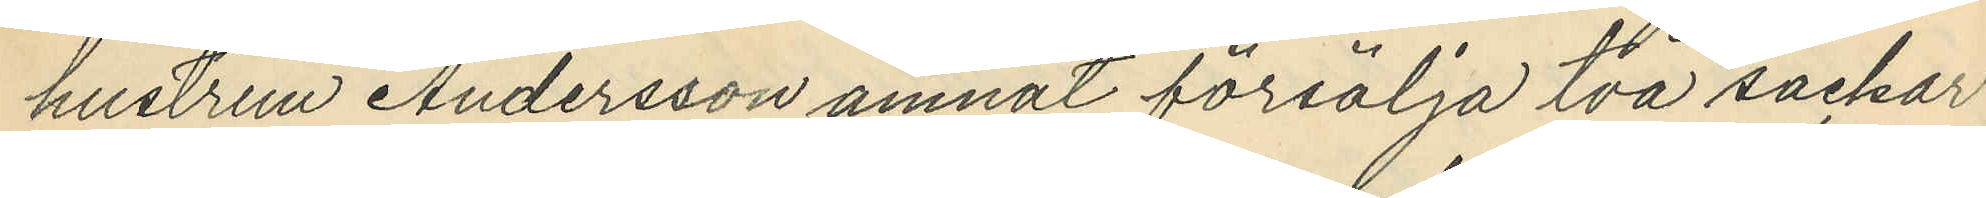hustrun Andersson ämnat försälja två säckar
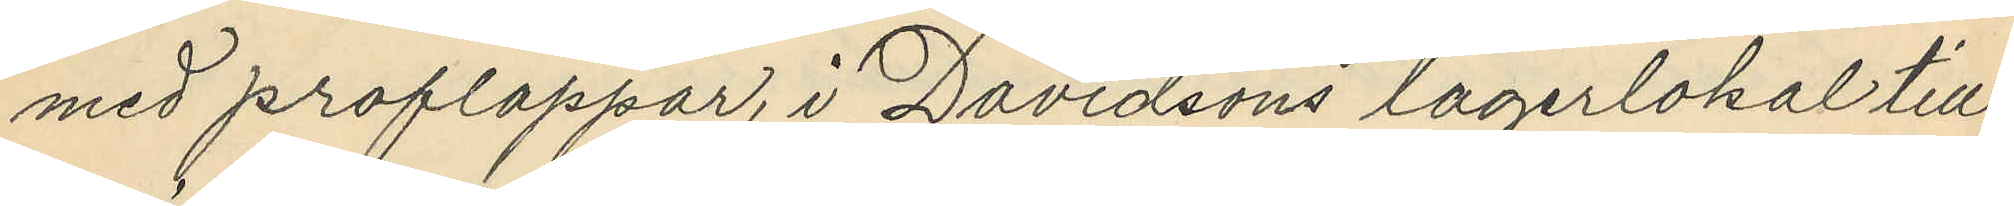med proflappar, i Davidsons lagerlokal till¬
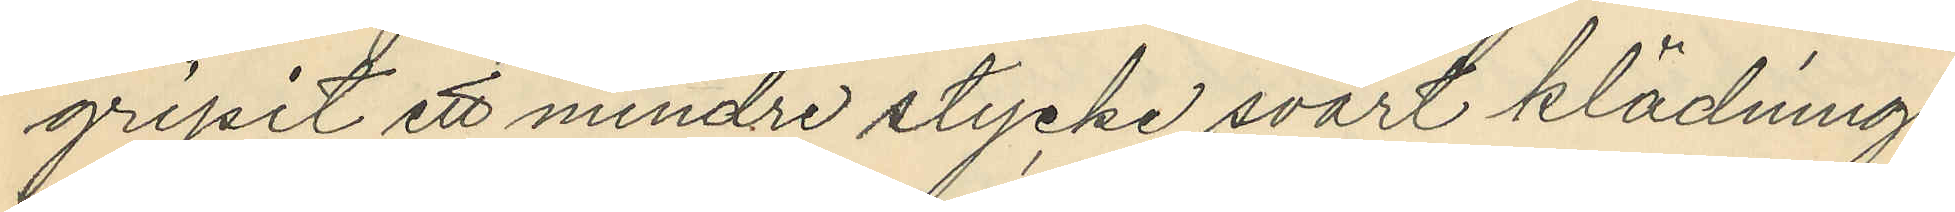gripit ett mindre stycke svart klädnings¬
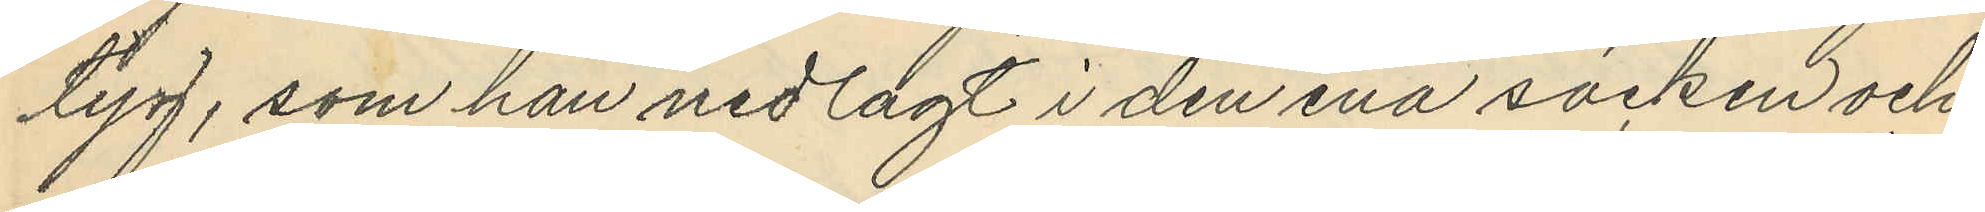tyg, som han nedlagt i den ena säcken och
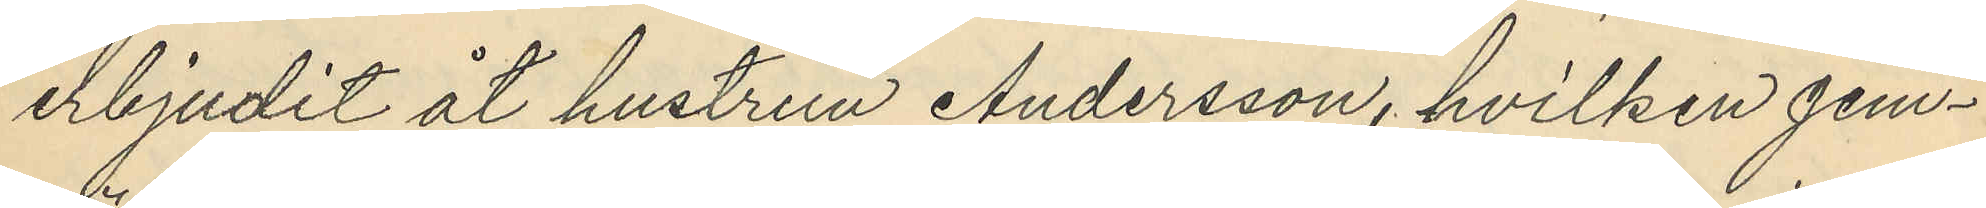erbjudit åt hustrun Andersson, hvilken jem¬
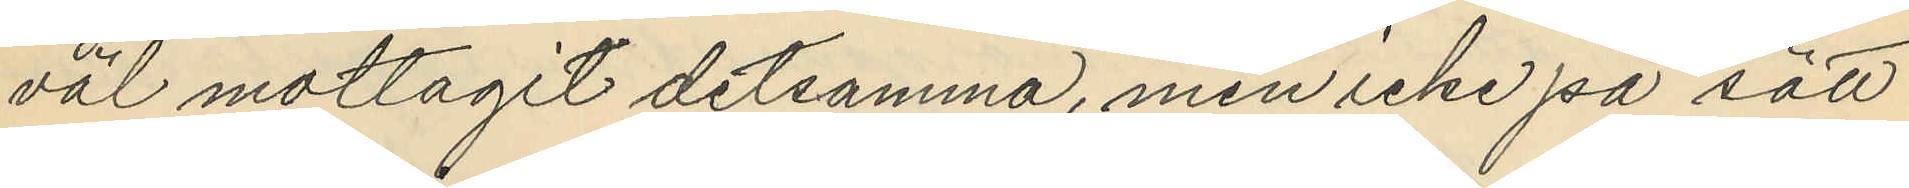väl mottagit detsamma, men icke på sätt
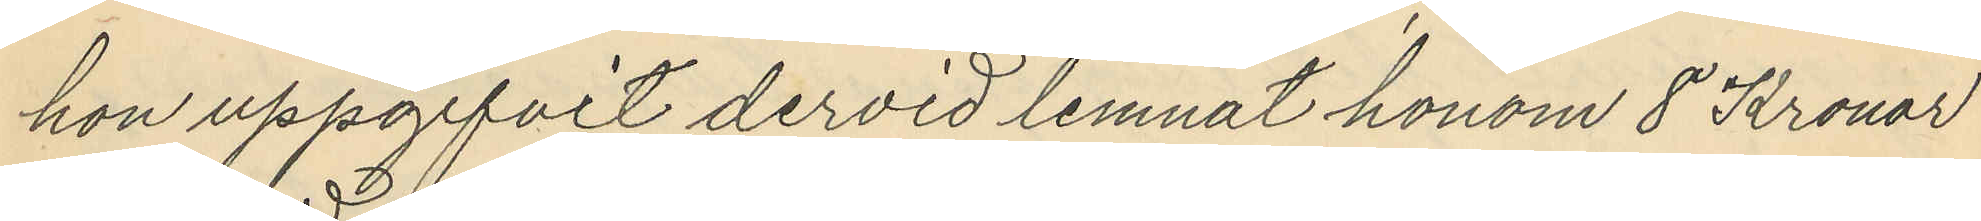hon uppgifvit dervid lemnat honom 8 Kronor
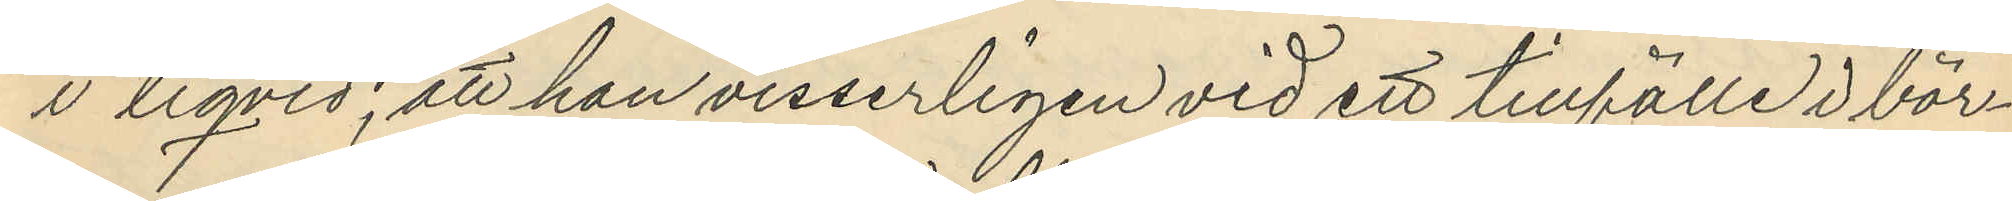i liqvid; att han visserligen vid ett tillfälle i bör¬
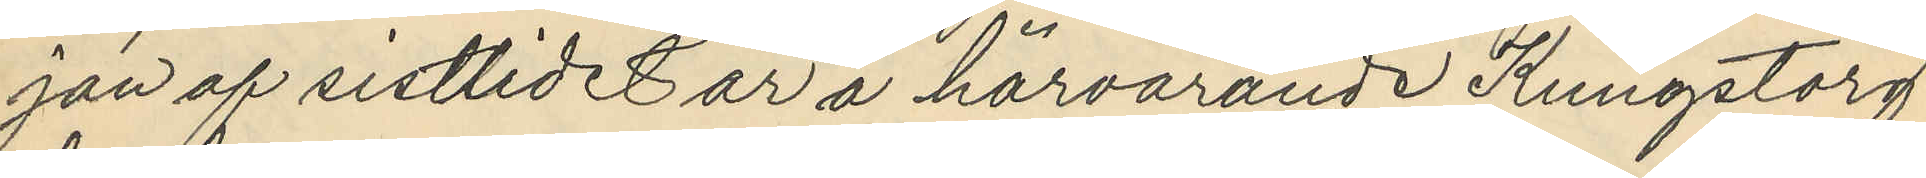jan af sistlidet år å härvarande Kungstorg
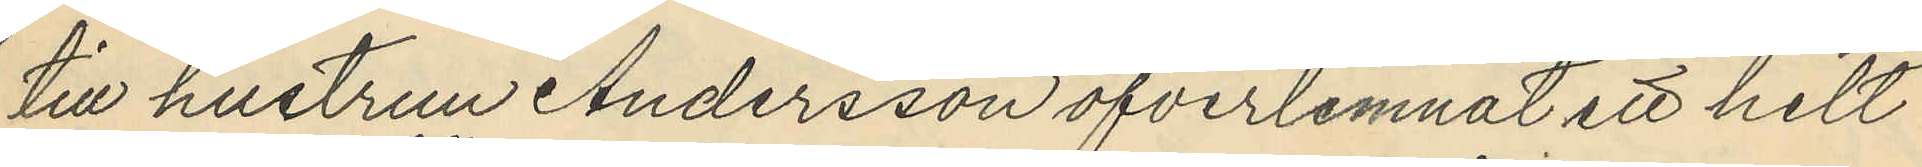till hustrun Andersson öfverlemnat ett helt
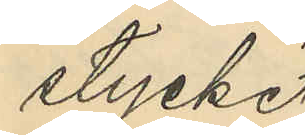stycke
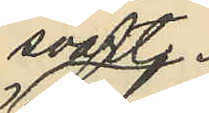svart
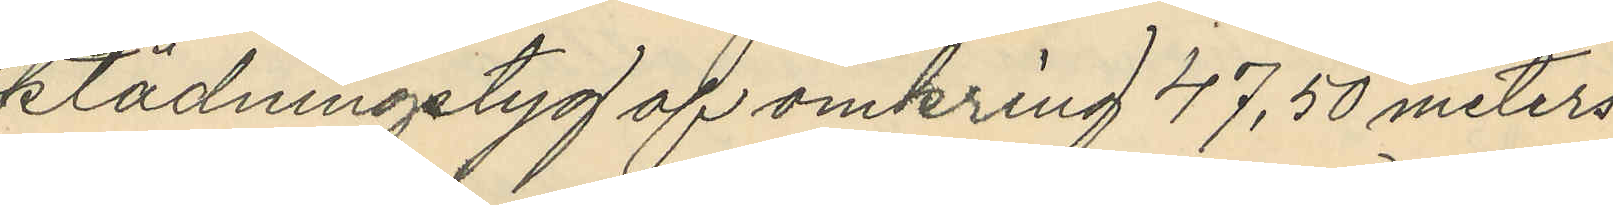klädningstyg af omkring 47,50 meters
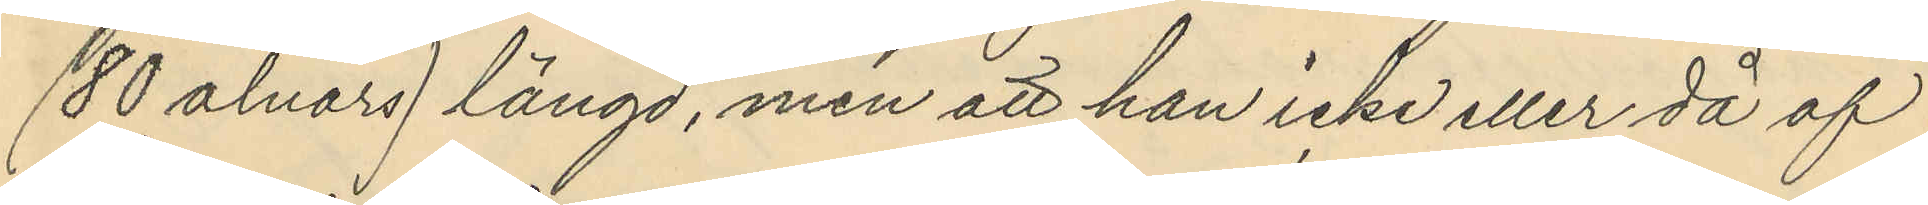(80 alnars) längd, men att han icke eller då af
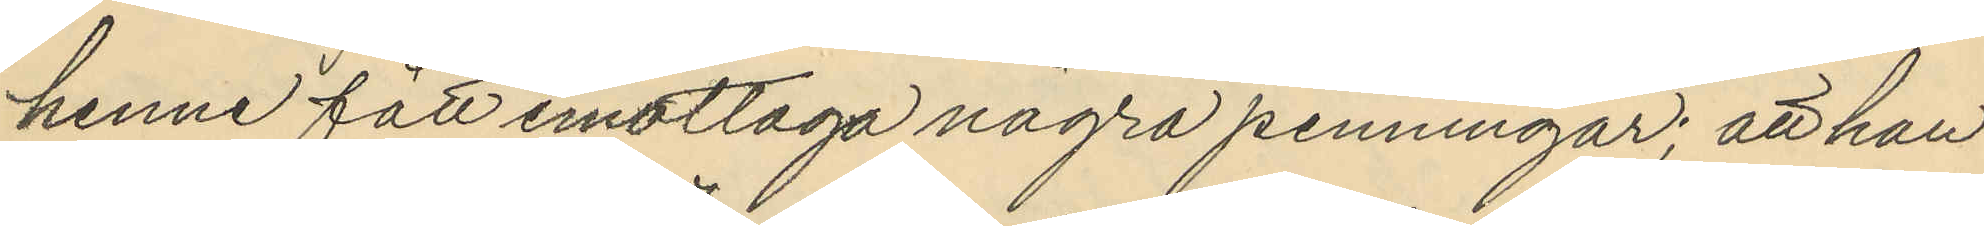henne fått emottaga några penningar; att han
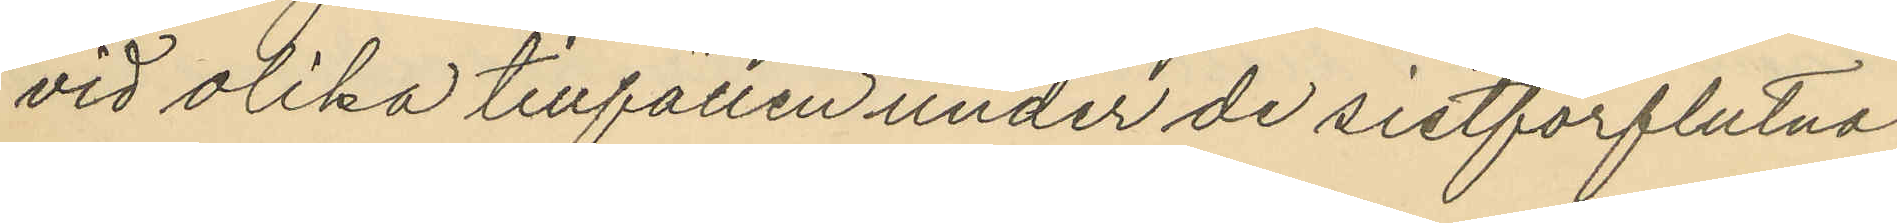vid olika tillfällen under de sistförflutna
